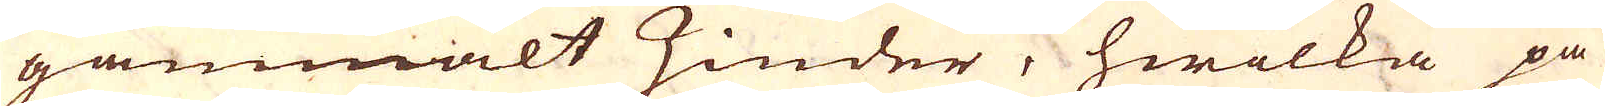gammalt Zinder, hwilka på
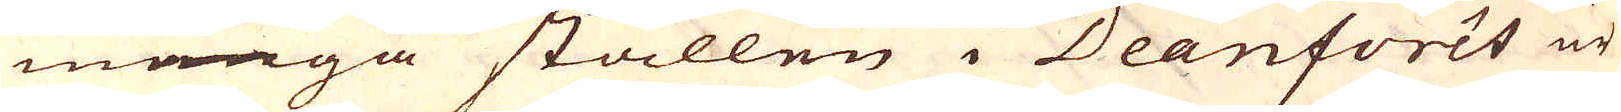många ställen i Deanforét ur
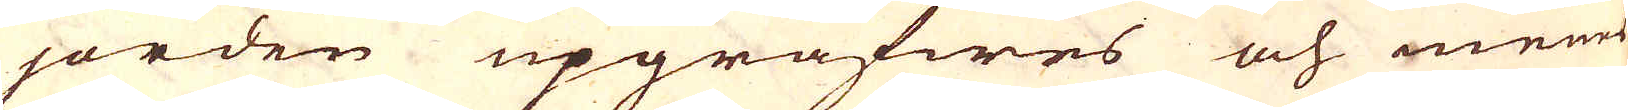jorden upgräfwes och menes
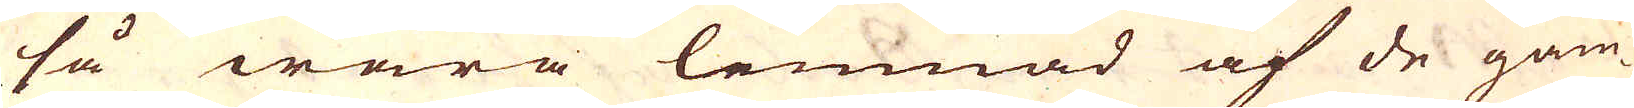så wara lemnad af de gam-
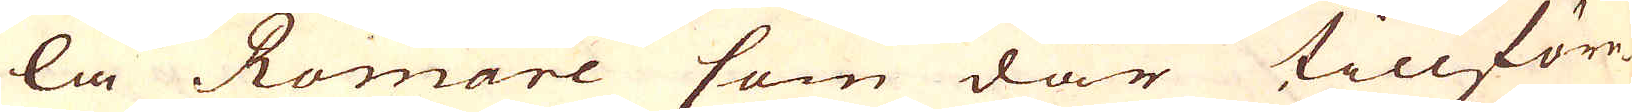la Romare som där tillföre-
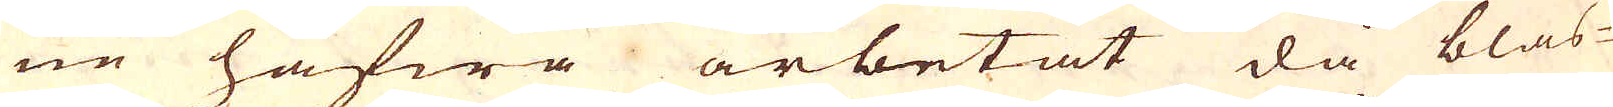ne hafwa arbetat då blås-
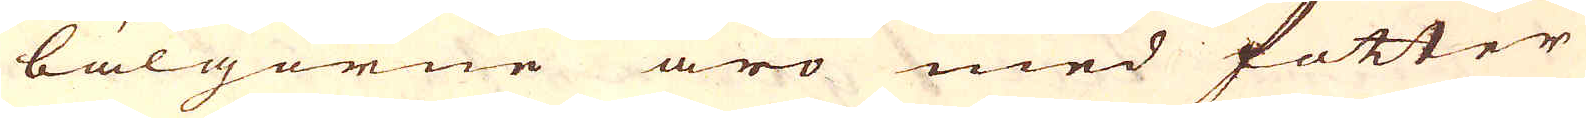bälgorne äro med fötter
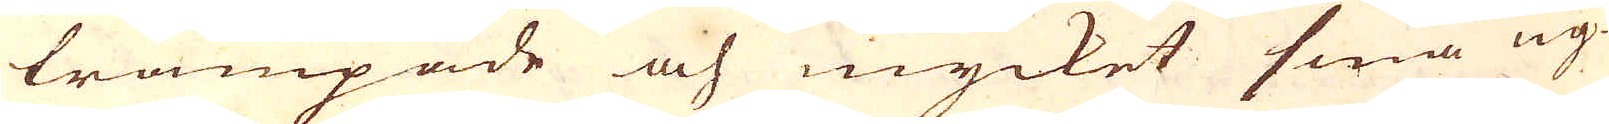trampade och mycket små ug-
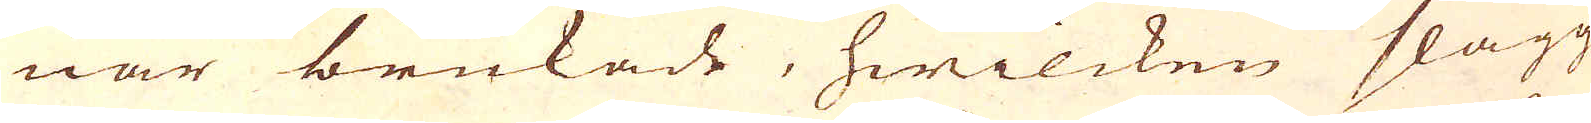nar brukade, hwilcken slagg
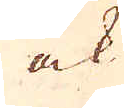ock
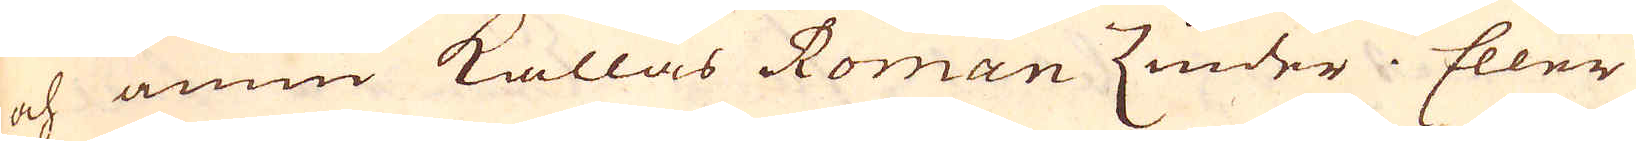och ännu kallas Roman Zinder. Eller
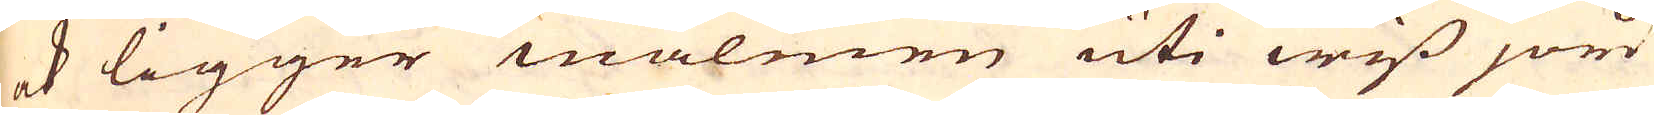ock ligger malmen uti wiss jord
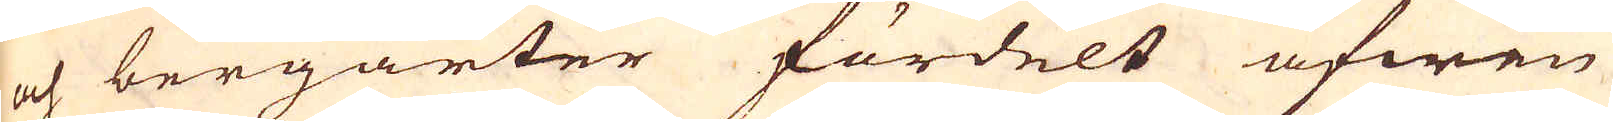och bergarter fördelt äfwen
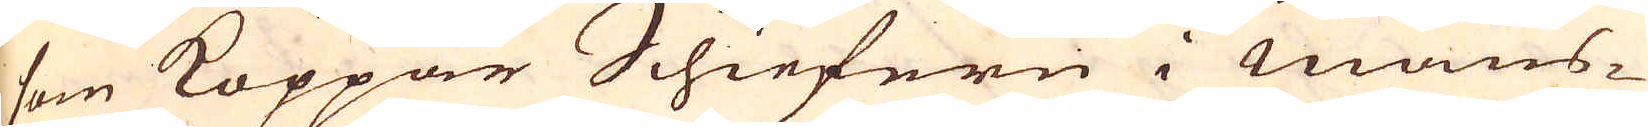som Koppar Schiefern i Mans-
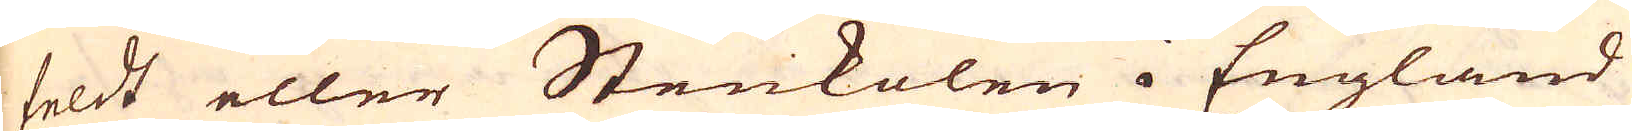feldt eller Stenkolen i England
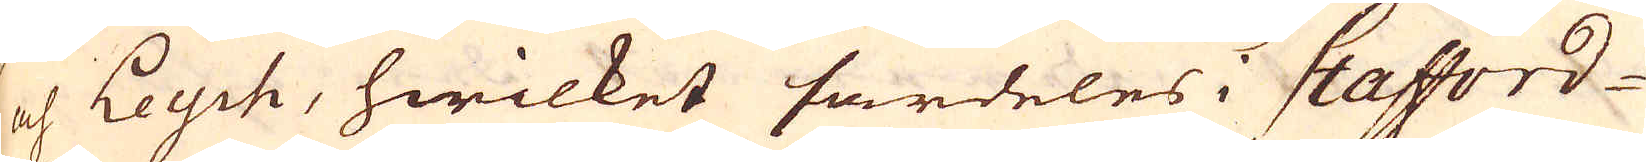och Leych, hwilket särdeles i Stafford-
